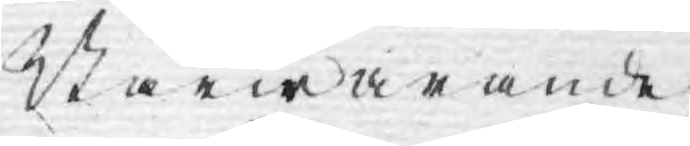Närwarande
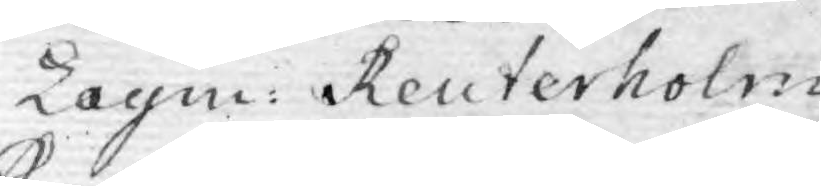Lagm: Reuterholm
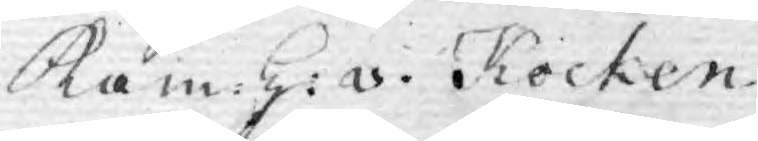Kam:H: v. Kocken
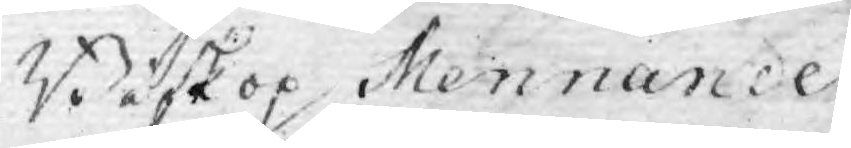Biskop Mennander
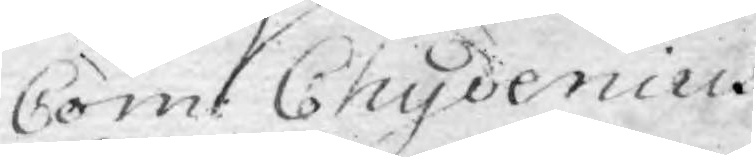Com: Chydenius
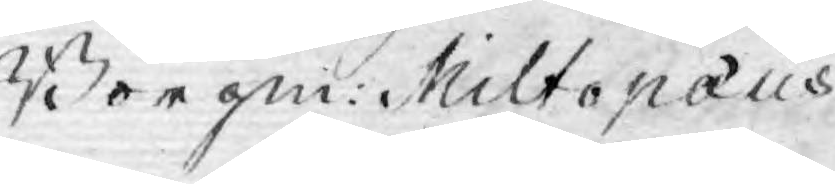Borgm: Miltopæus
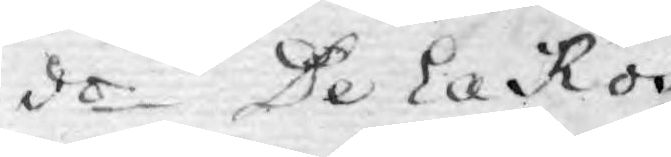d:o De la Ros
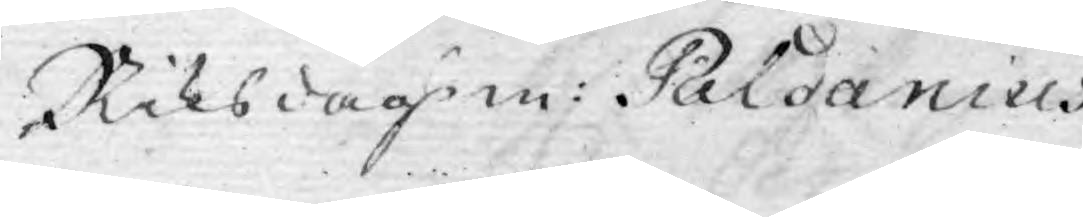Riksdagsm: Paldanius
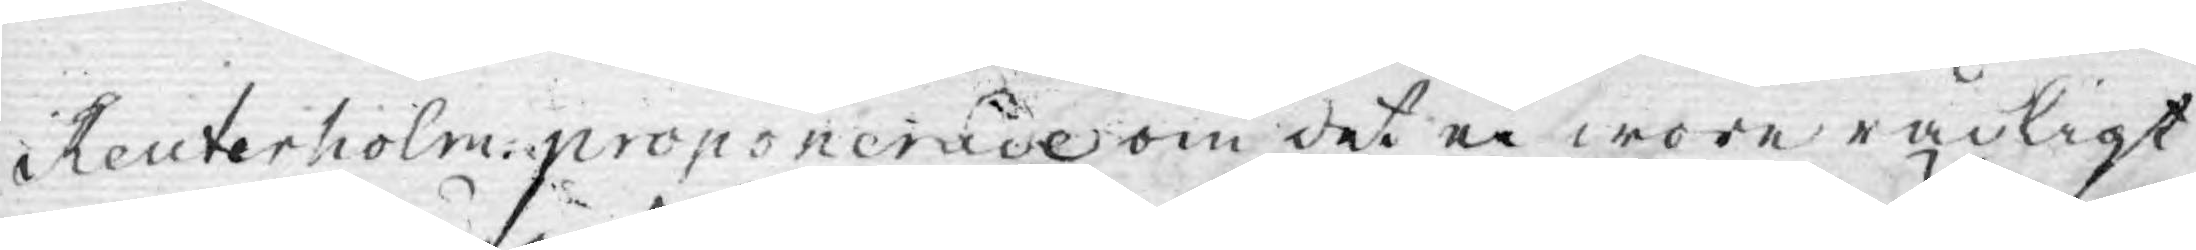Reuterholm proponerade om det ei wore rådligt
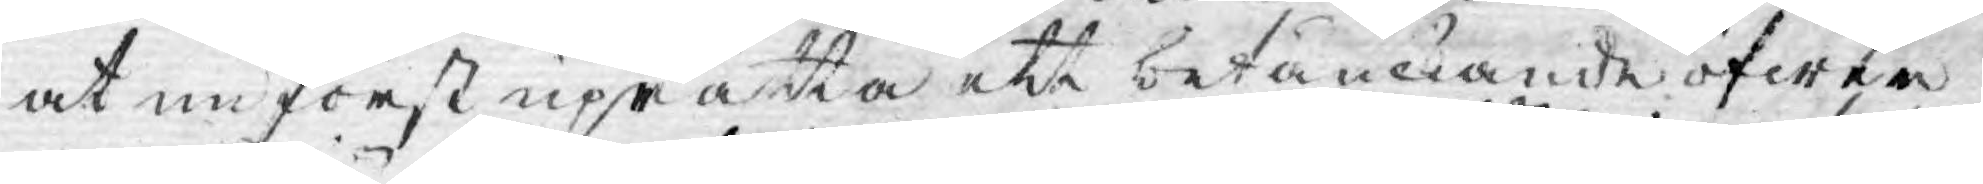at nu först uprätta ett betänkande öfwer
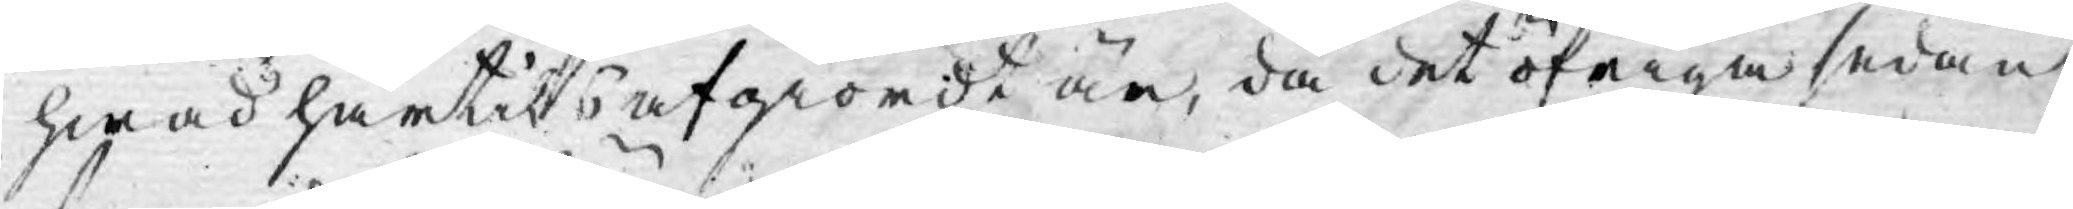hwad härtils afgiordt är, då det öfriga sedan
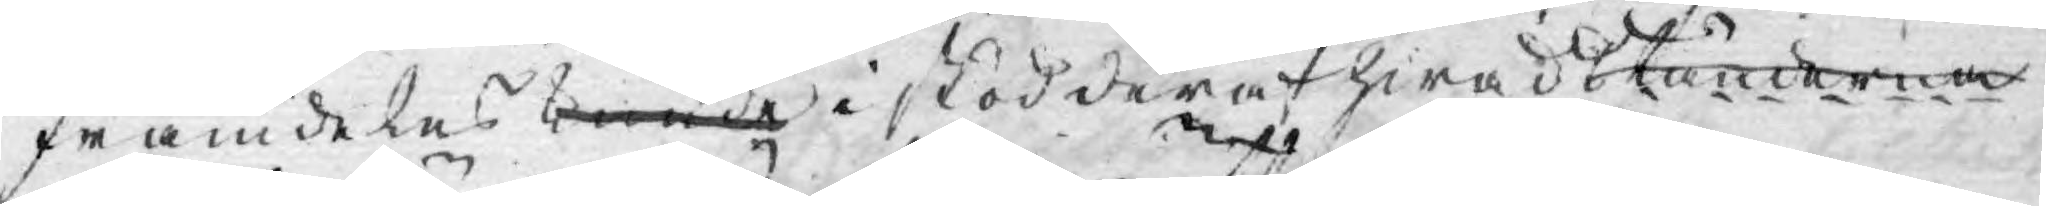framdeles kunde i stöd deraf hwad Ständerna
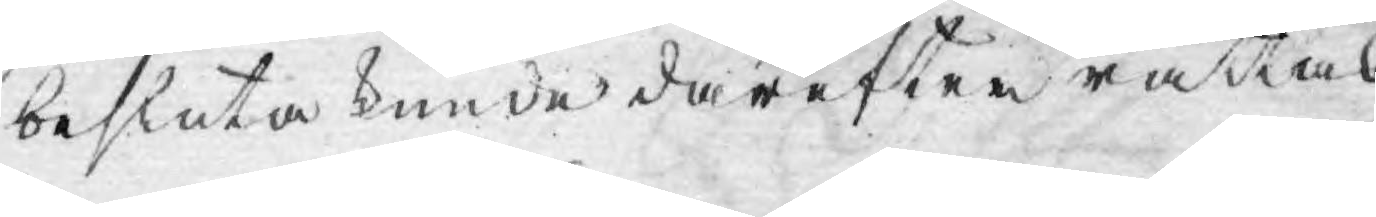besluta kunde därefter rättas.
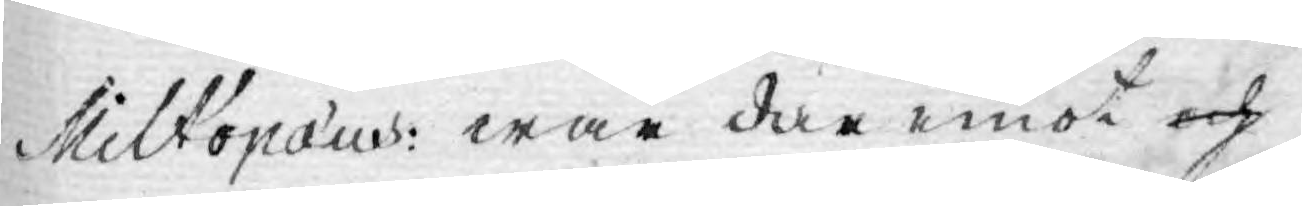Miltopæus: war där emot och
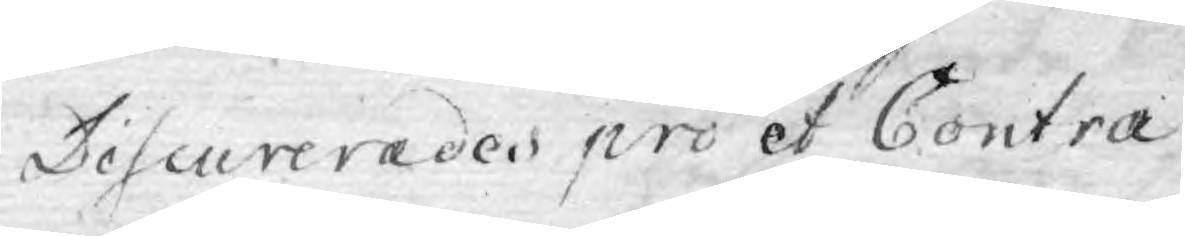Discurerades pro et Contra
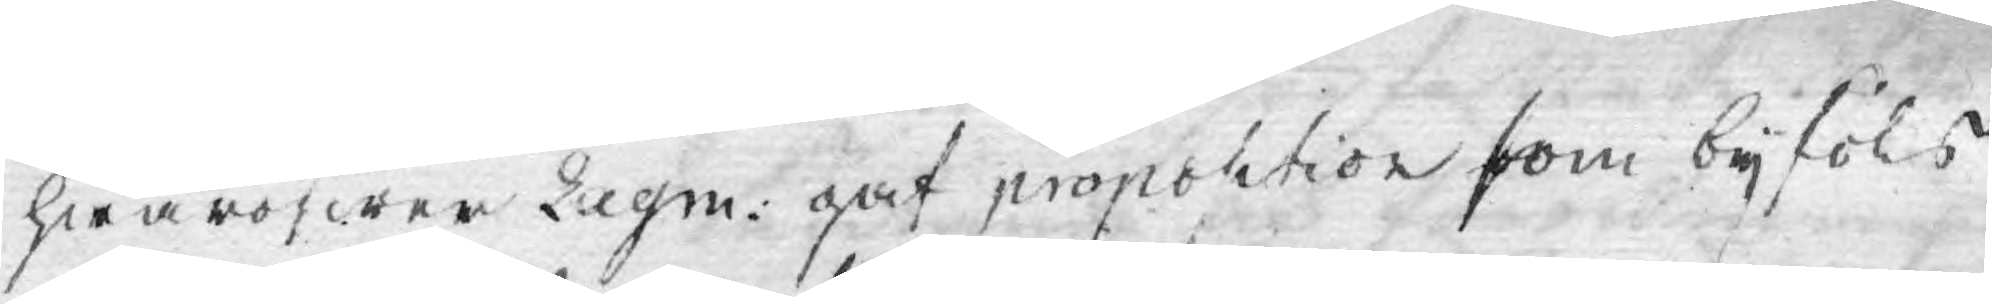hwaröfwer Lagm: gaf proposition som byföls
